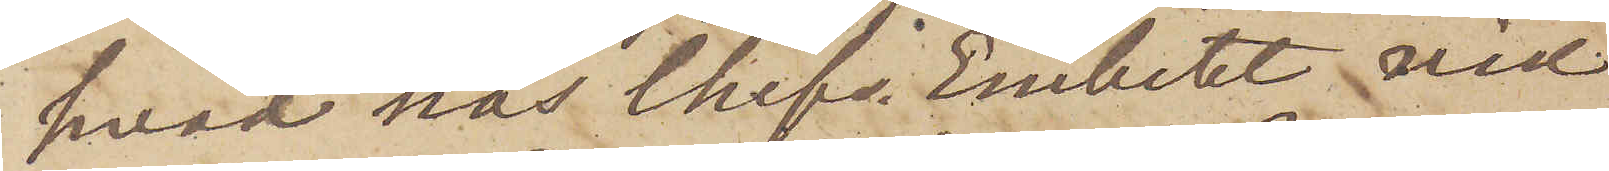hvad hos Chefs Embetet vid
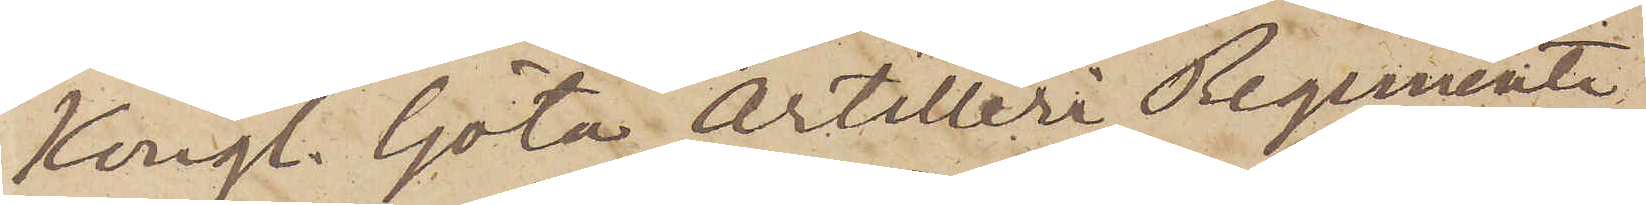Kungl. Göta Artilleri Regemente
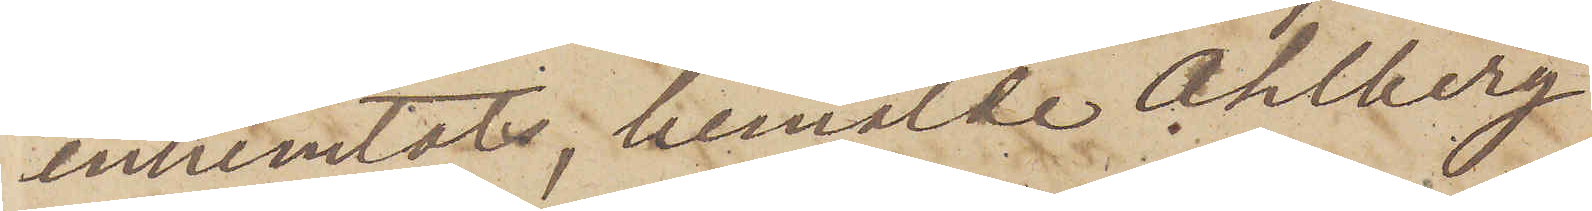inhemtats, bemälde Ahlberg
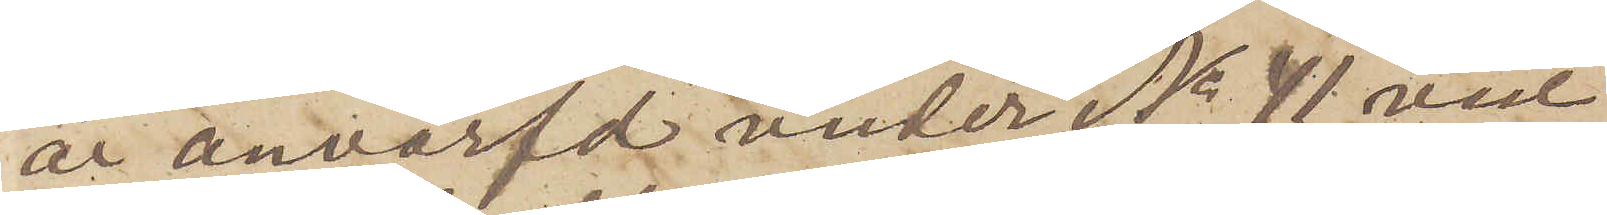är anvärfd under No 41 vid
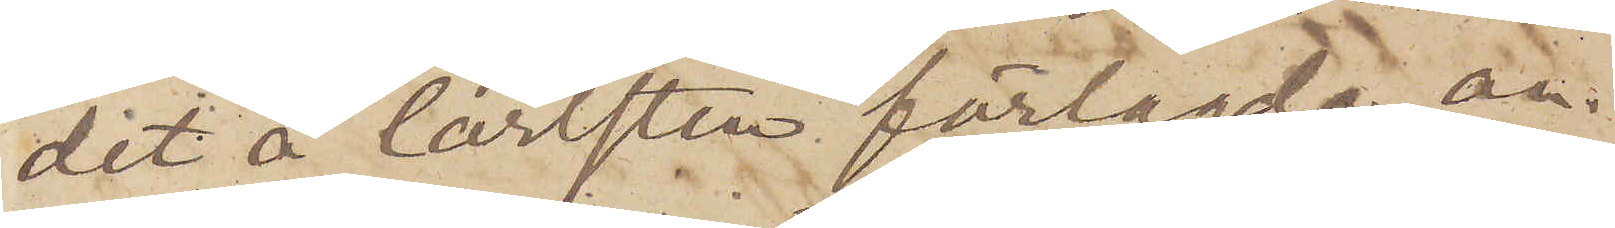det å Carlsten förlagda an¬
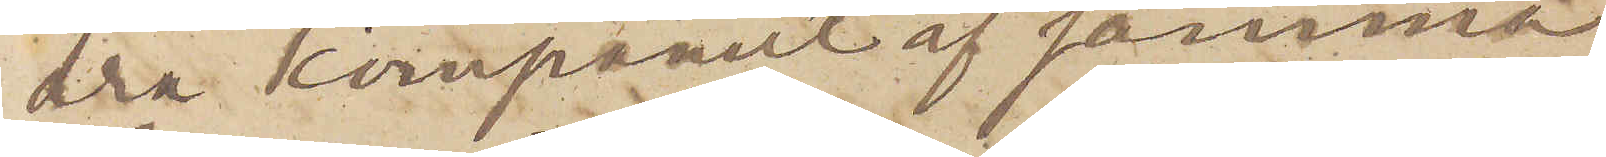dra kompaniet af samma
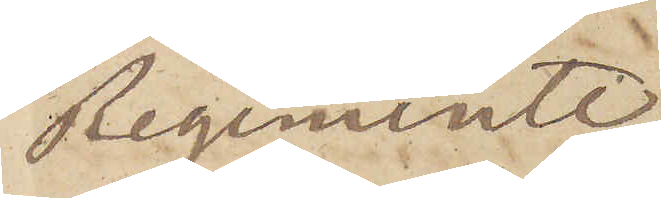Regemente.
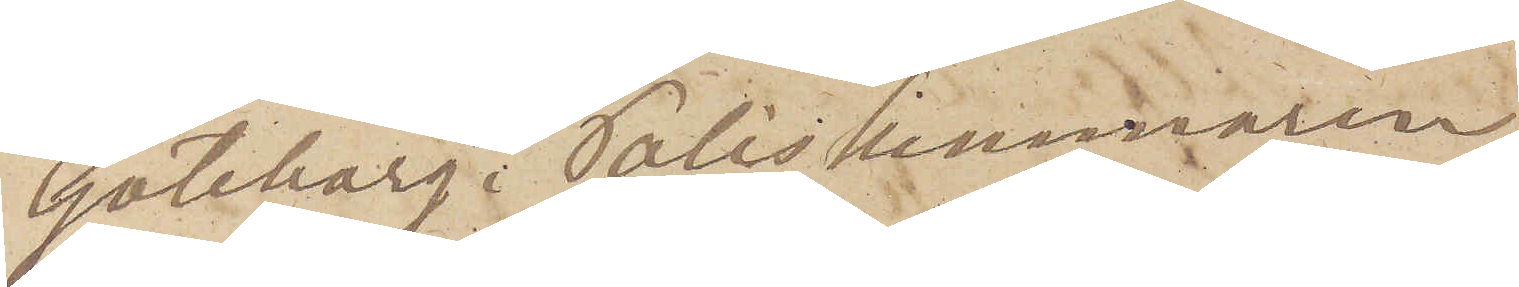Göteborg i Poliskammaren
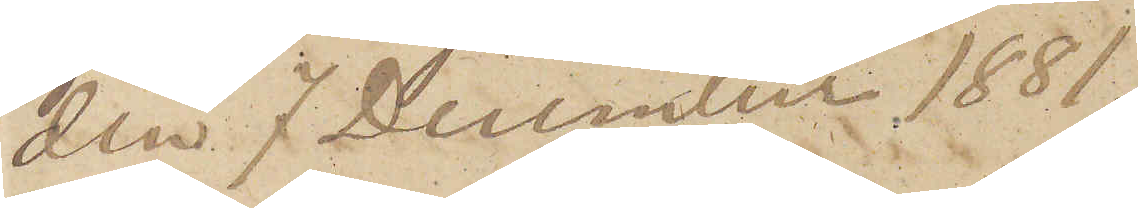den 7 December 1881.
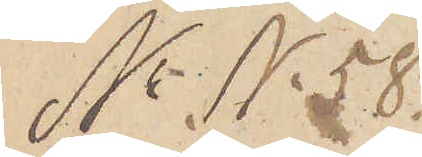No N. 58.
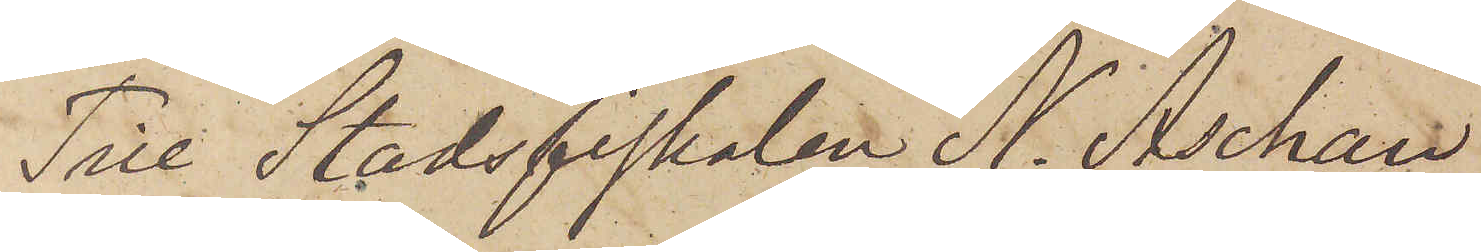Till Stadsfiskalen N. Aschan
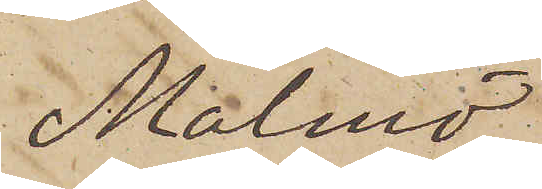Malmö
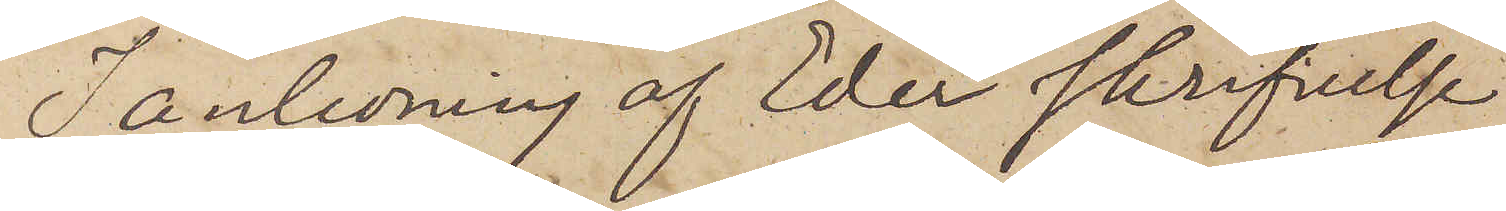I anledning af Eder skrifvelse
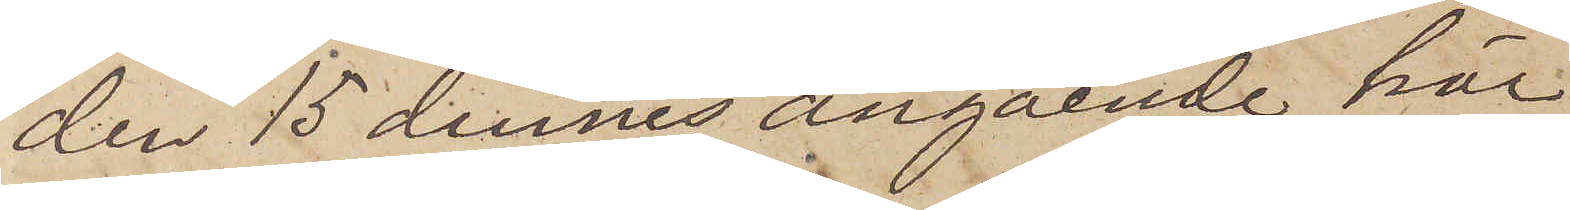den 15 dennes angående här
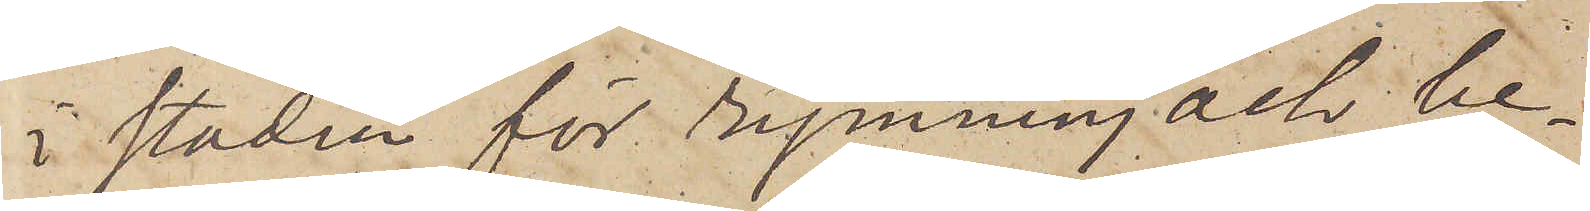i staden för rymning och be¬
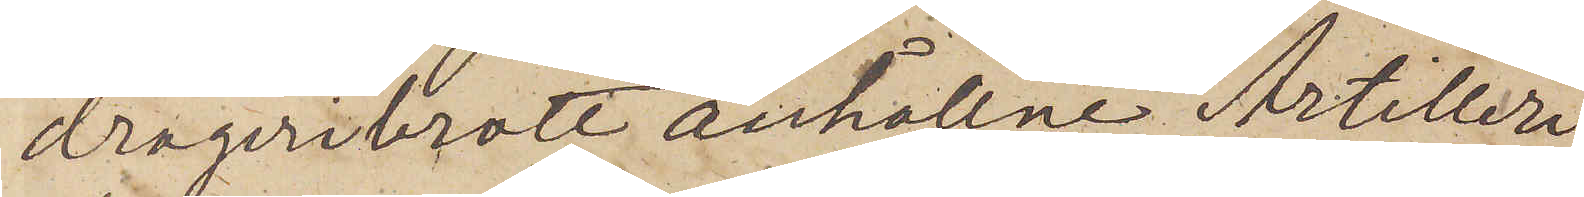drägeribrott anhållne Artilleri¬
